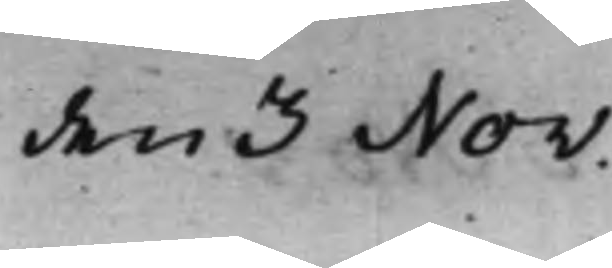den 3 Nov:
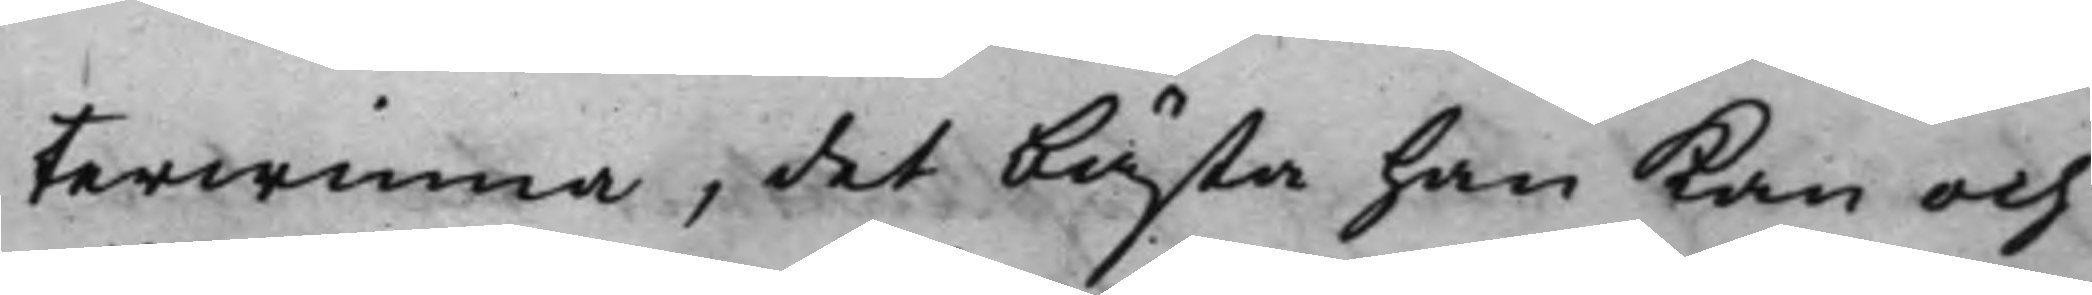terwinna, det bästa han kan och
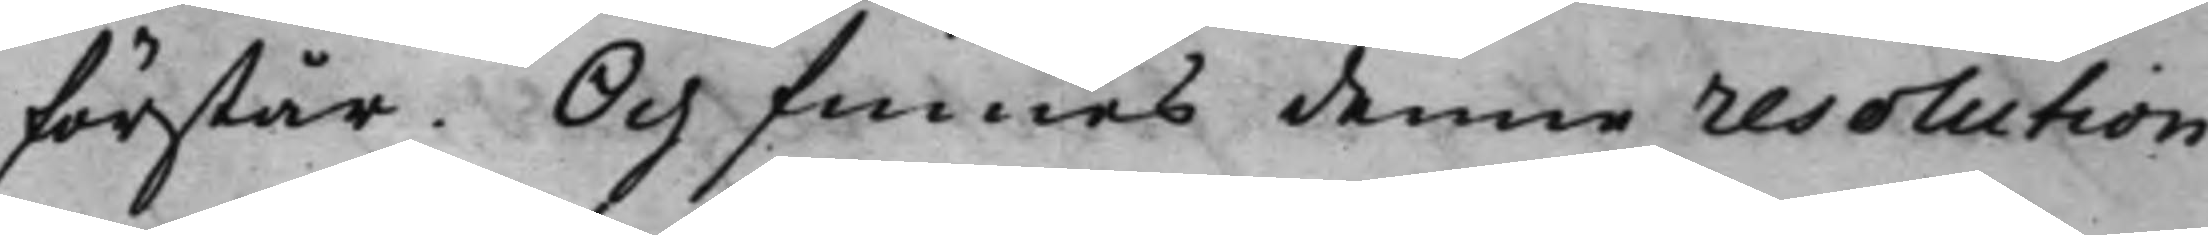förstår. Och finnes denne resolution
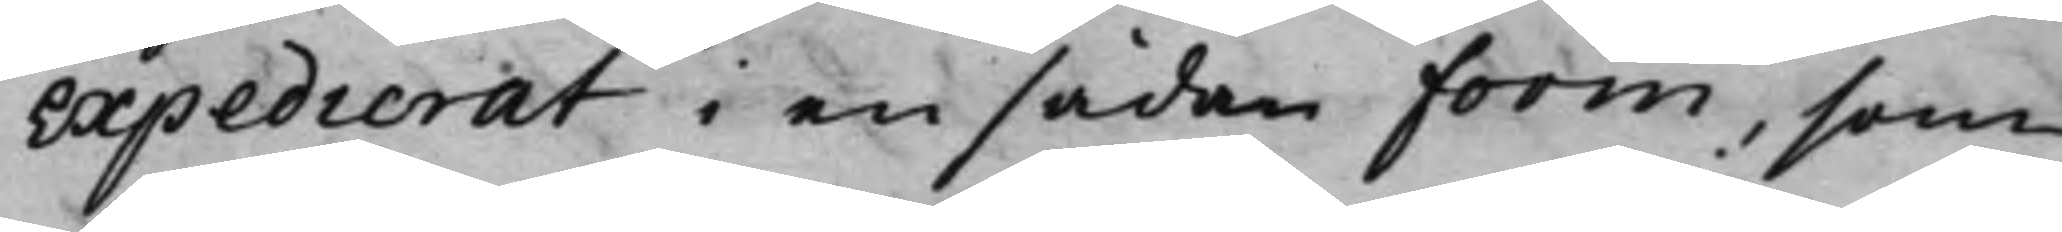expedierat i en sådan form, som
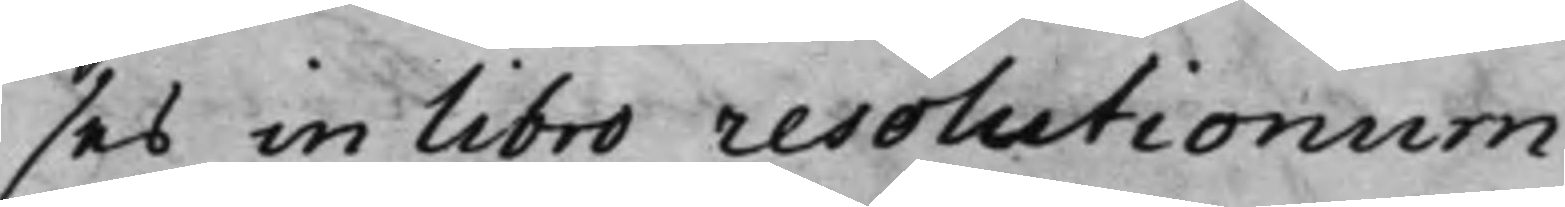ses in libro resolutionum.
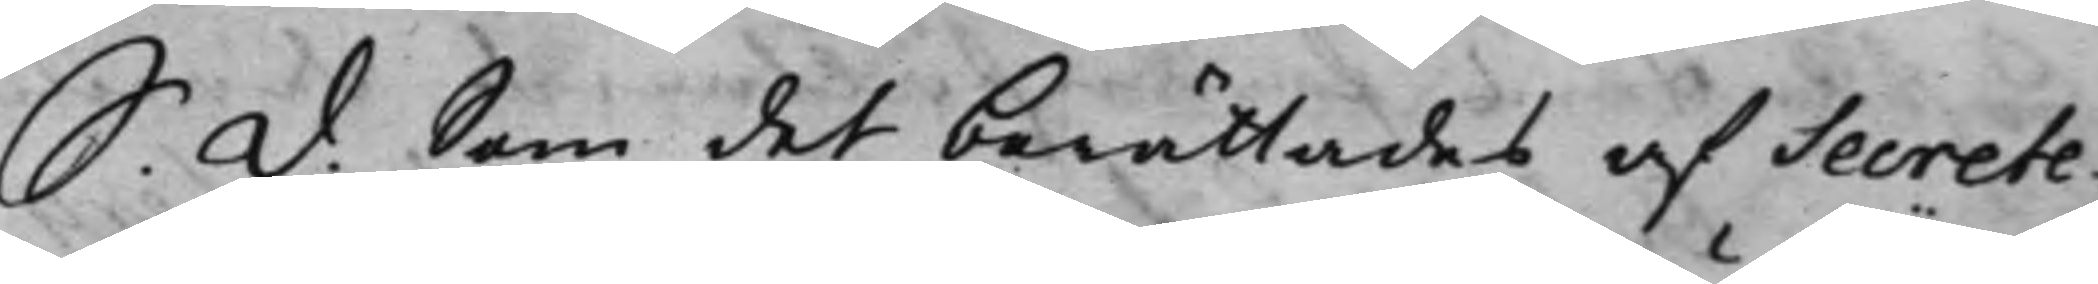S. d. Som det berättades af Secrete¬
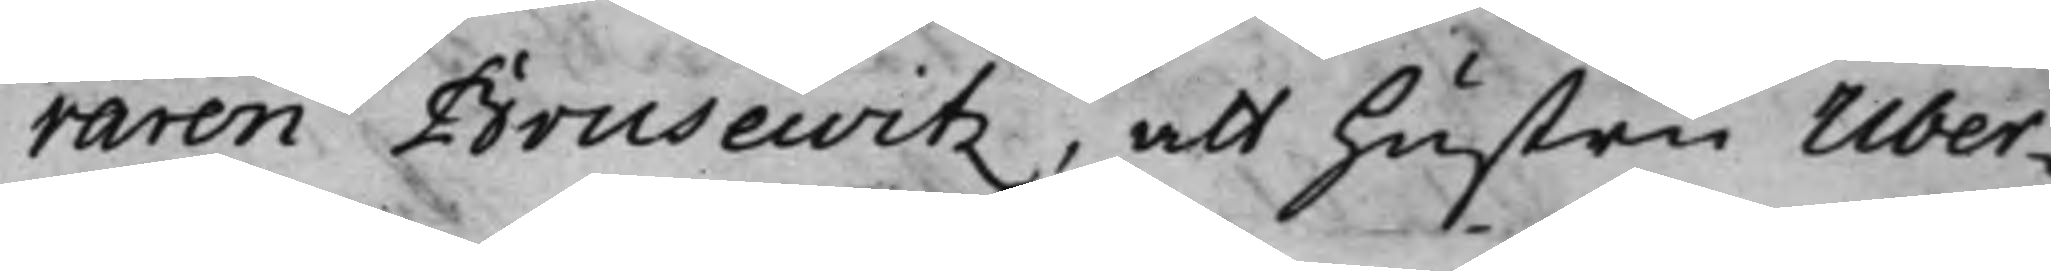raren Brusewitz, att hustru Über¬
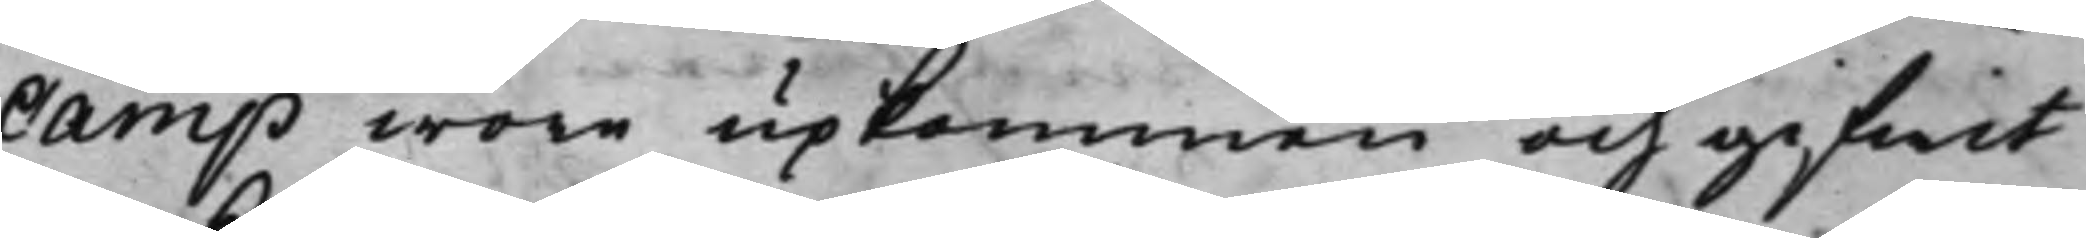Camp wore upkommen och gifwit
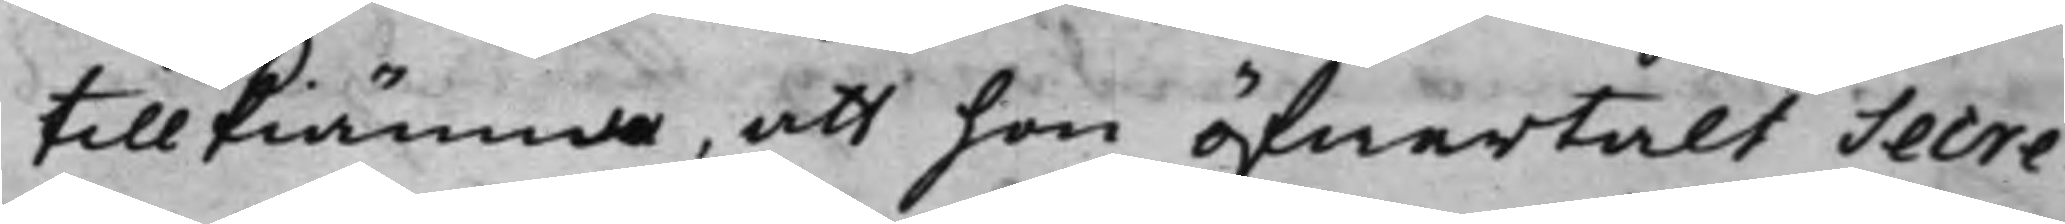tillkiänna, att hon öfwertalt Secre¬
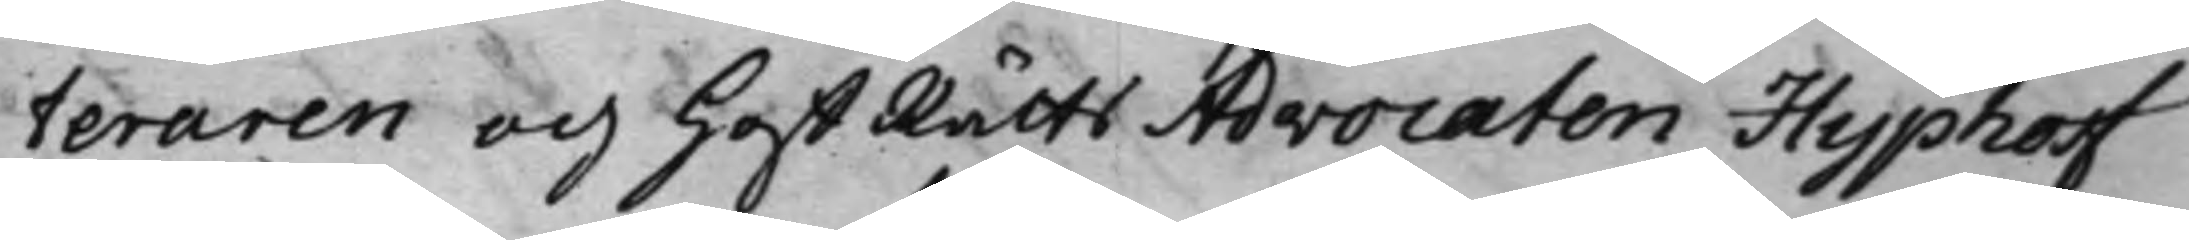teraren och HoffRätts Advocaten Hyphoff
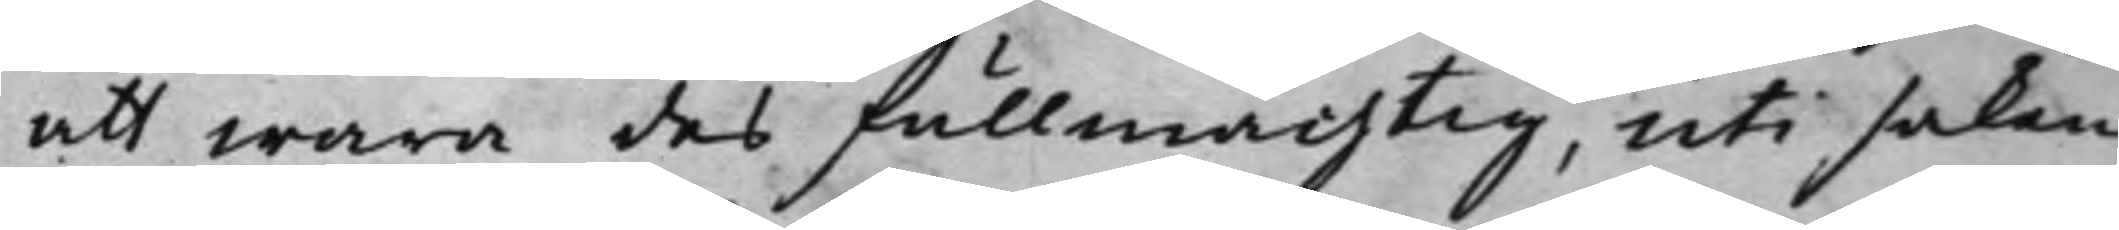att wara des fullmächtig, uti saken
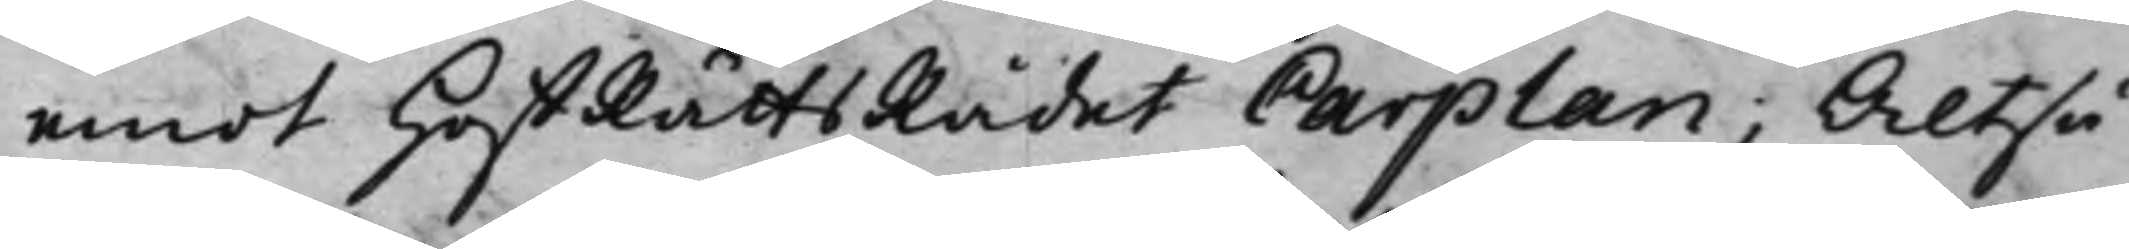emot HoffRättsRådet Carplan; Altså
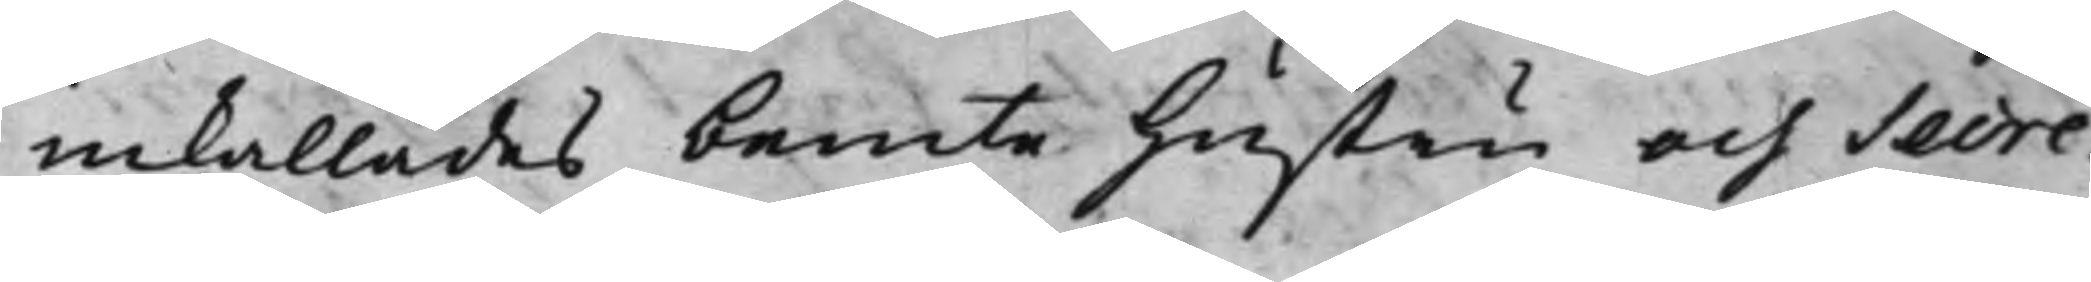inkallades bemte Hustru och Secre¬
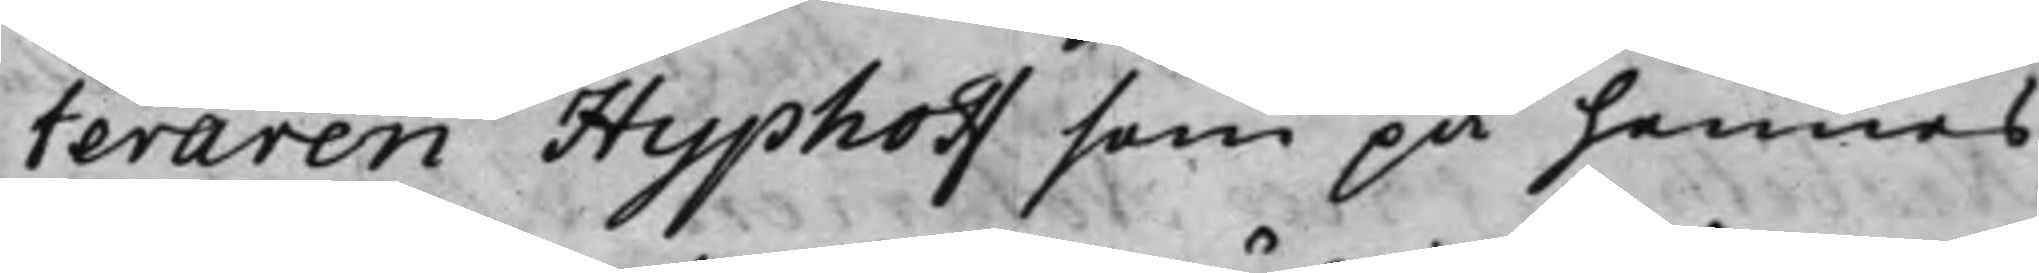teraren Hyphoff som på hennes
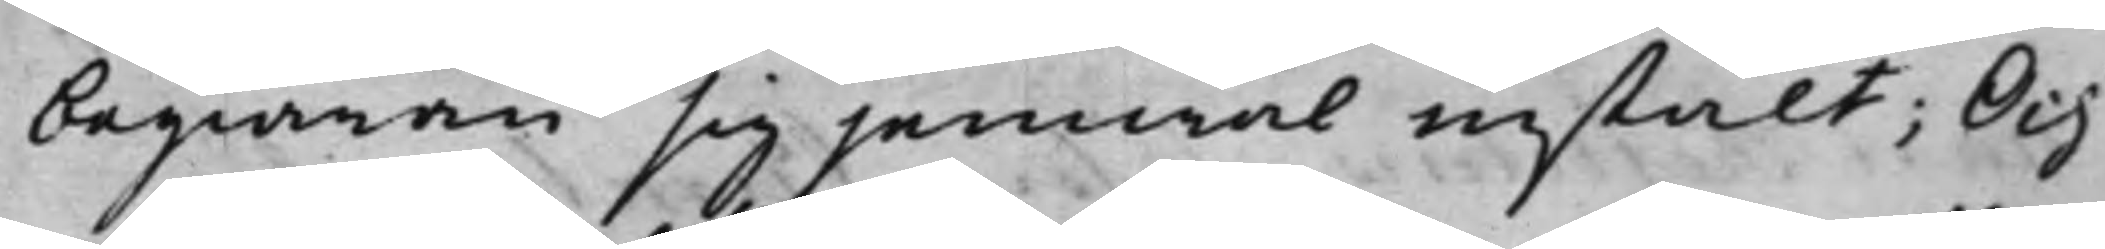begiäran sig jemwäl instält; Och
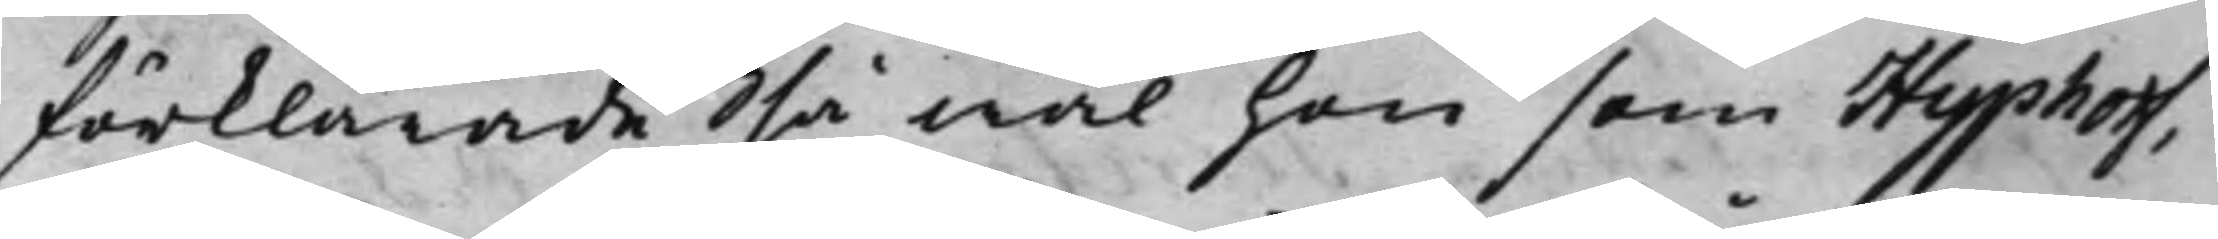förklarade så wäl hon som Hyphoff,
